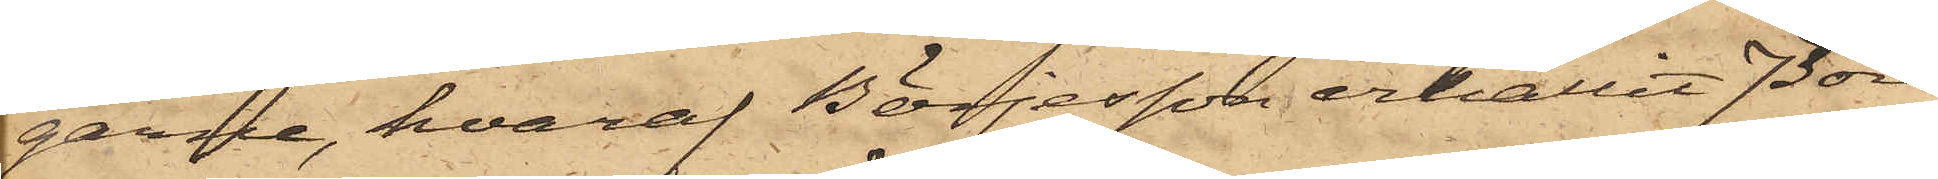garne, hvaraf Börjesson erhållit 73 öre
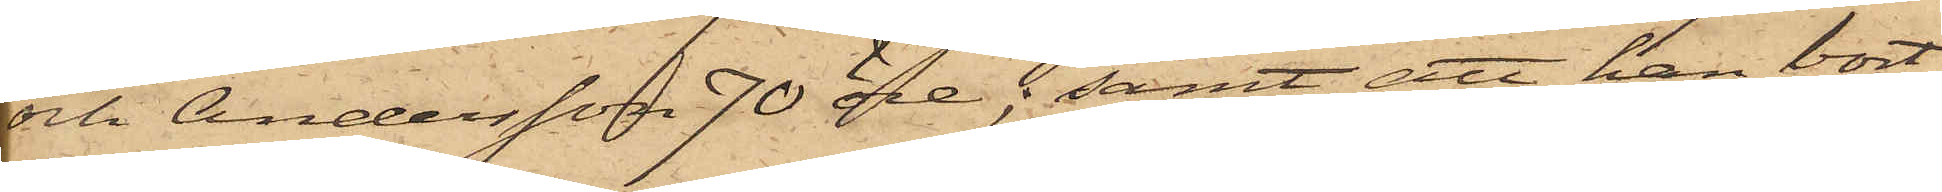och Andersson 70 öre; samt att han bort¬
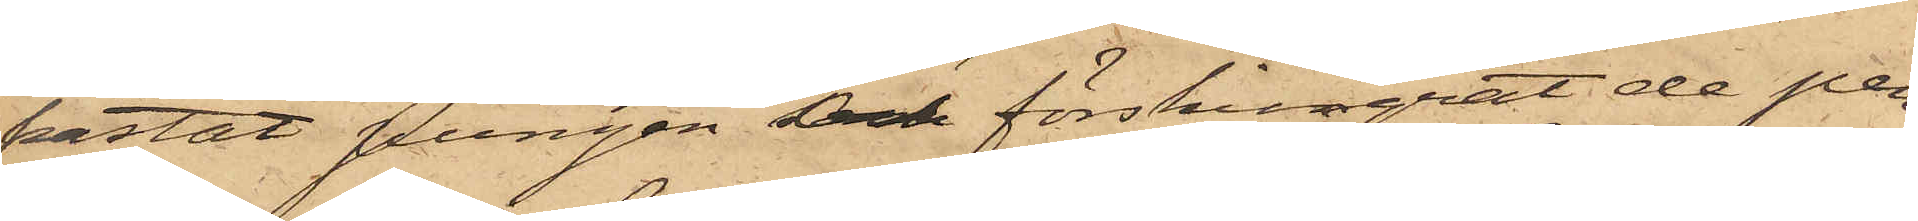kastat pungen och förskingrat de pen¬
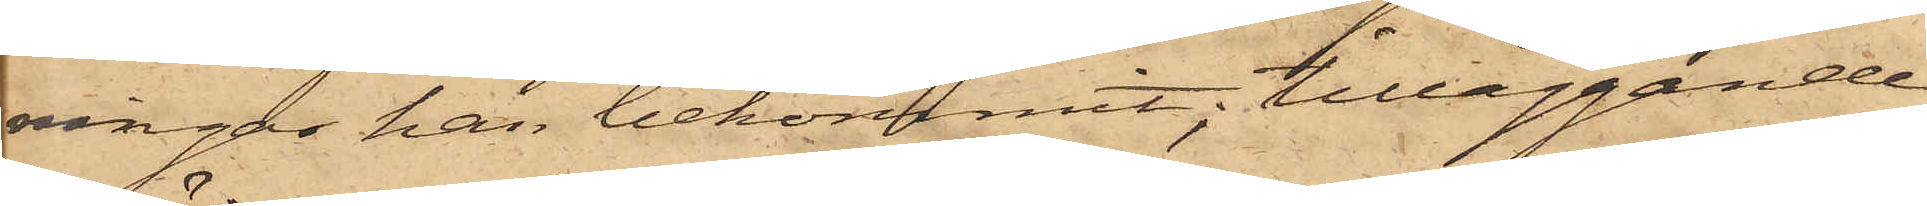ringar han bekommit; tilläggande
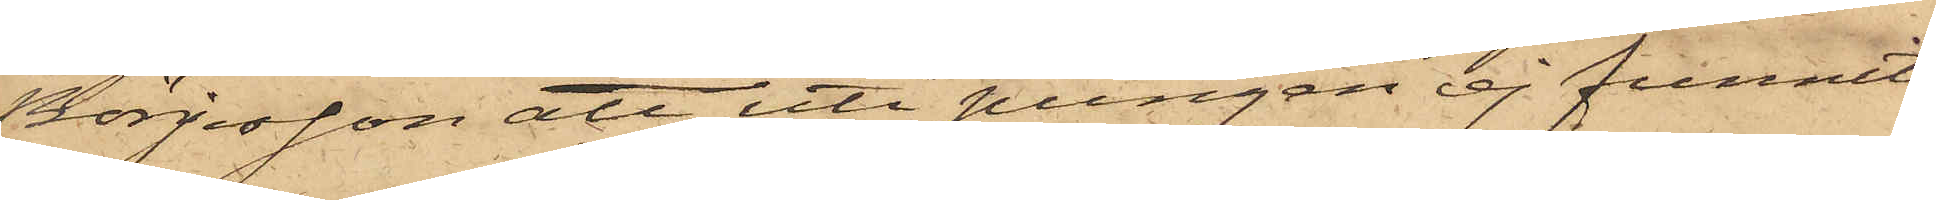Börjesson att uti pungen ej funnits
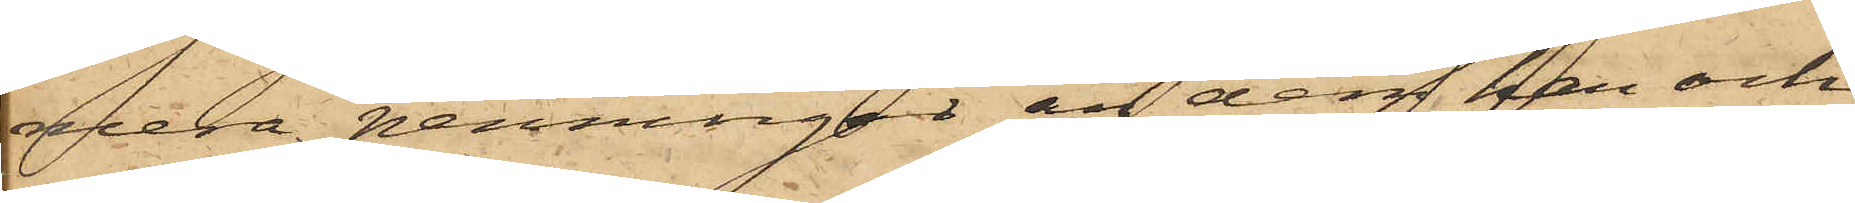mera penningar, än dem han och
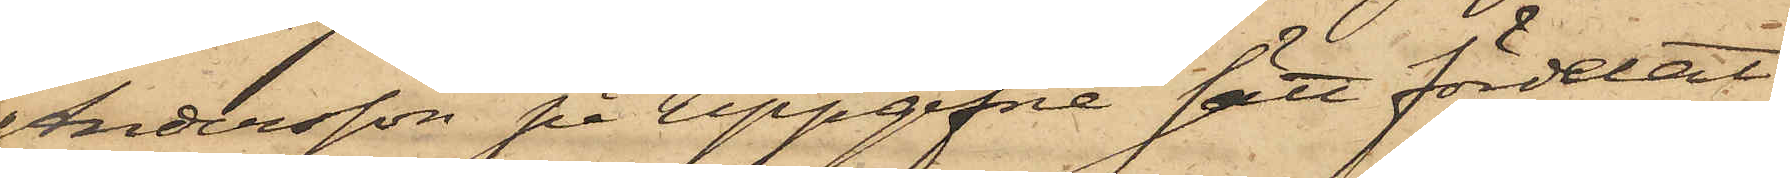Andersson på uppgifne sätt fördelat.
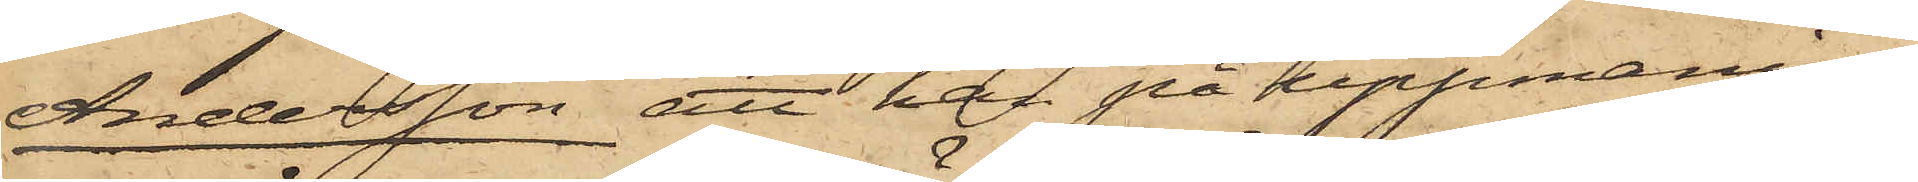Andersson att han på uppmaning
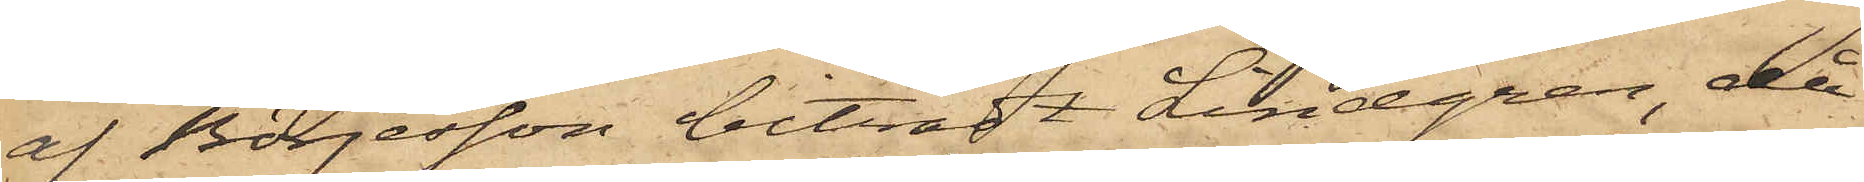af Börjesson biträdt Lindgren, då
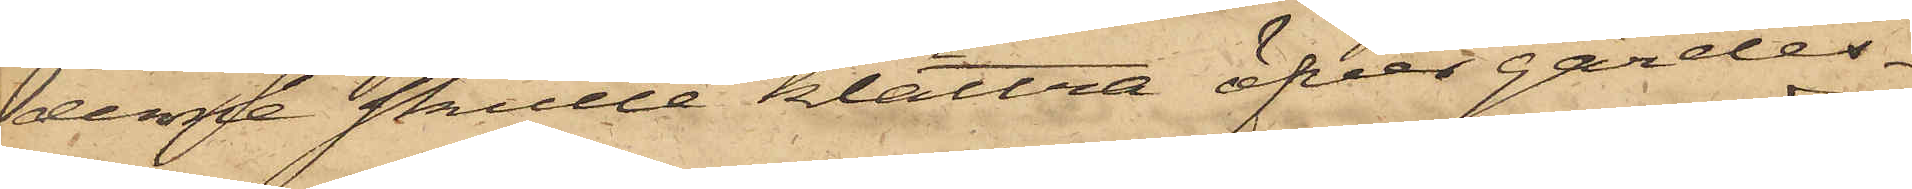denne skulle klättra öfver gärdes¬
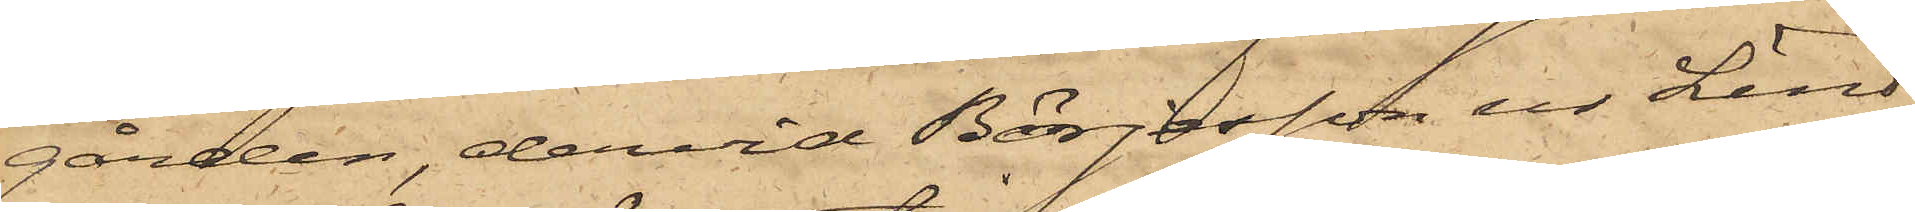gården, dervid Börjesson ur Lind¬
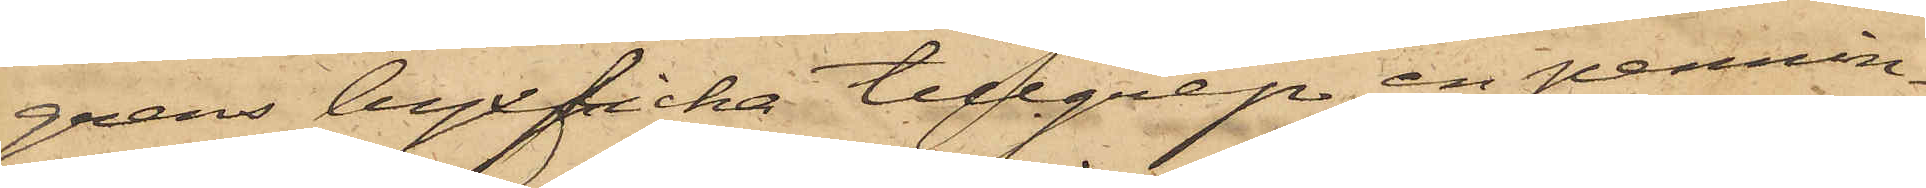grens byxficka tillgrep en pennin¬
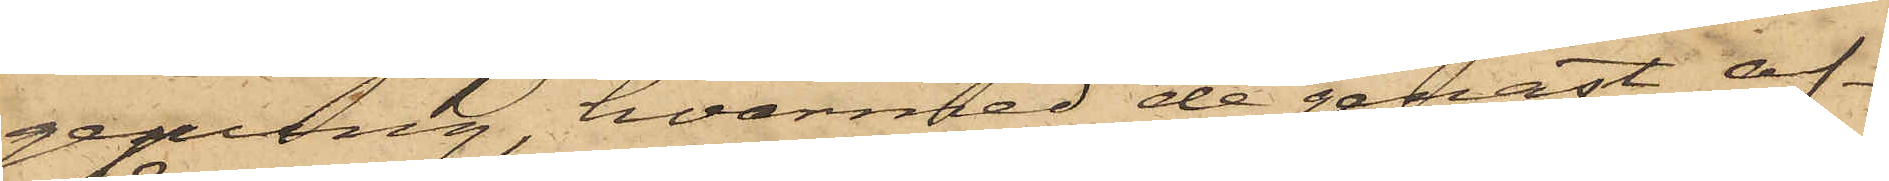gepung, hvarmed de genast af¬
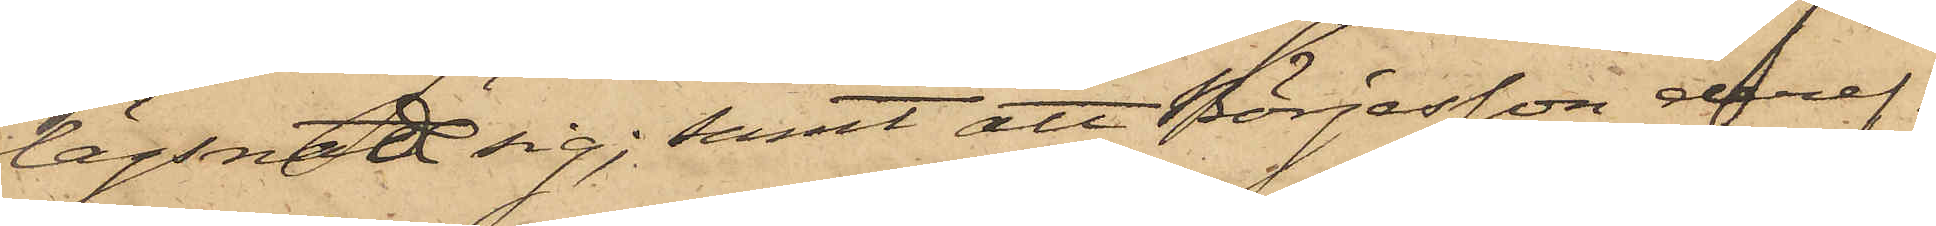lägsnat sig; samt att Börjesson deref¬
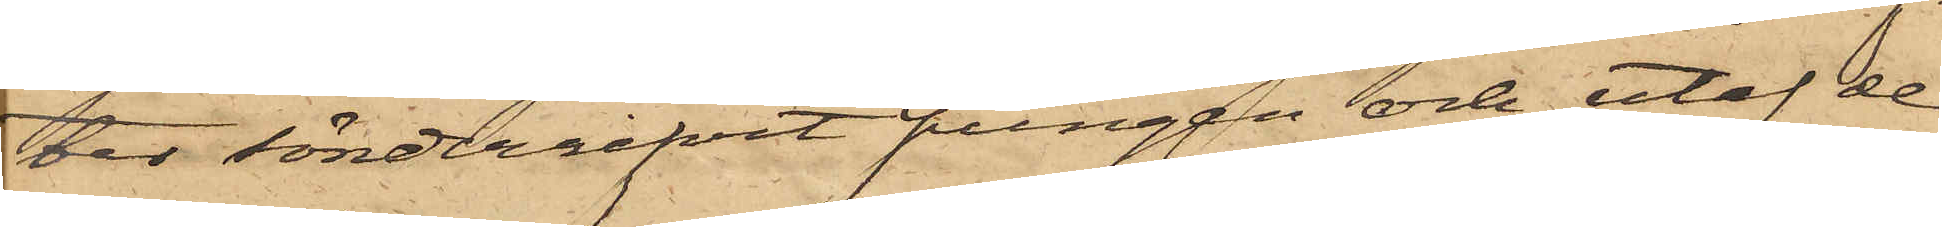ter sönderrifvit pungen och utaf de
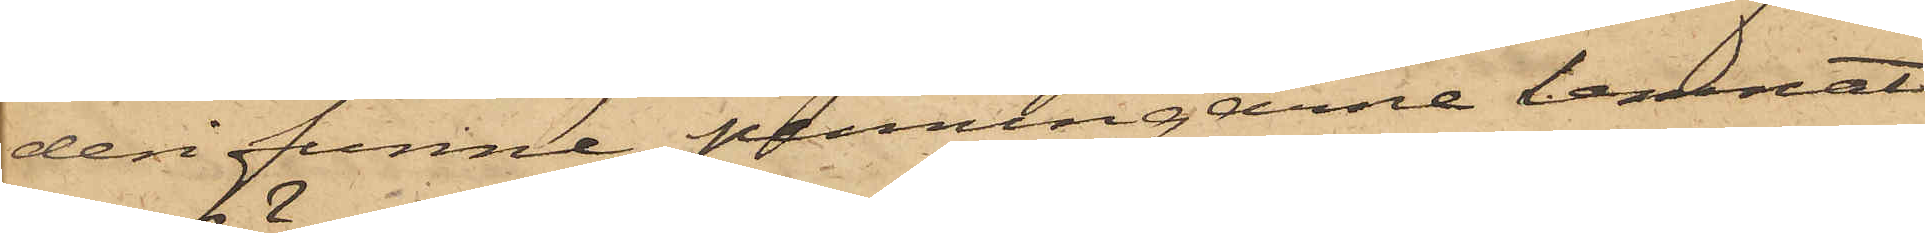deri funne penningarne lemnat
